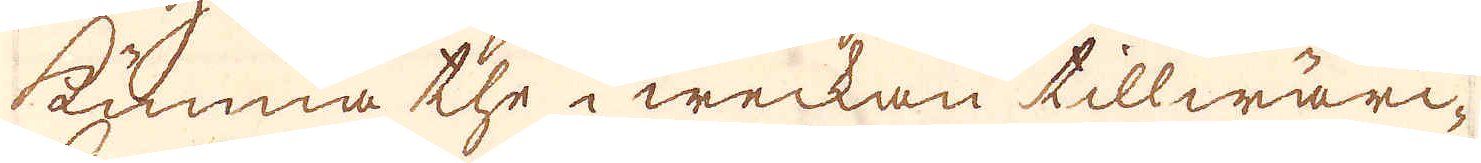kunna the i weckan tillwärc-
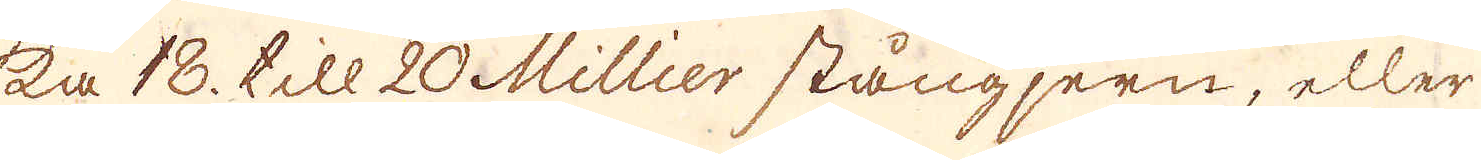ka 18. till 20 Millier stångjern, eller
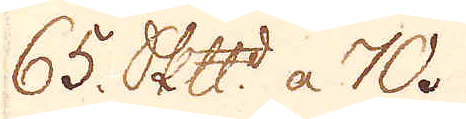65. skepppund a 70.
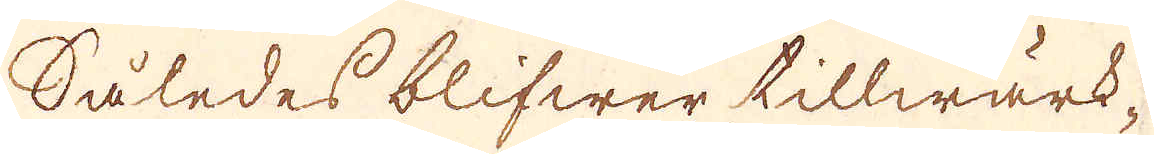Således blifwer tillwärk-
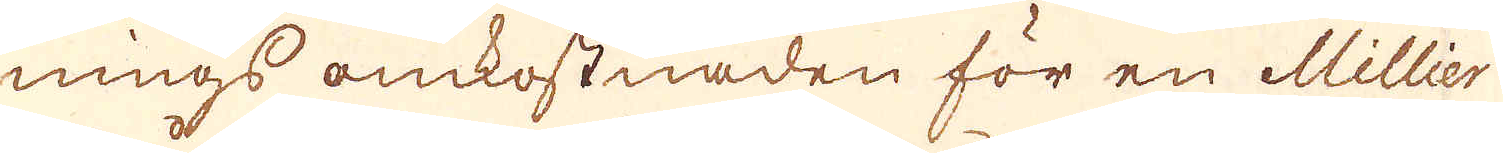nings omkostnaden för en Millier
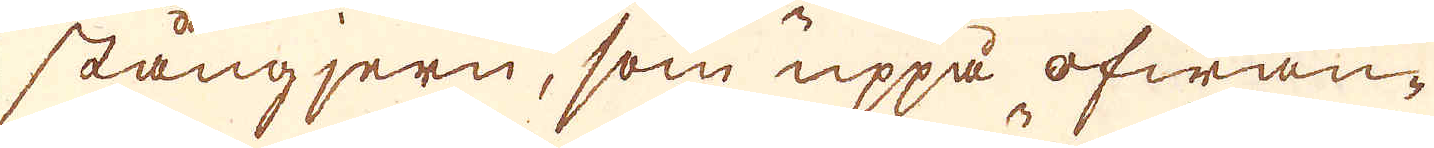stångjern, som uppå ofwan-
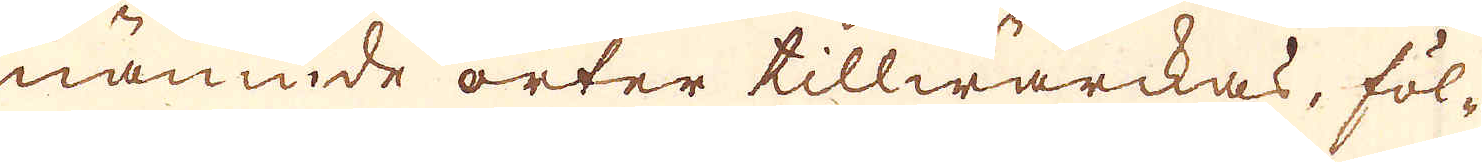nämnde orter tillwärckas, föl-
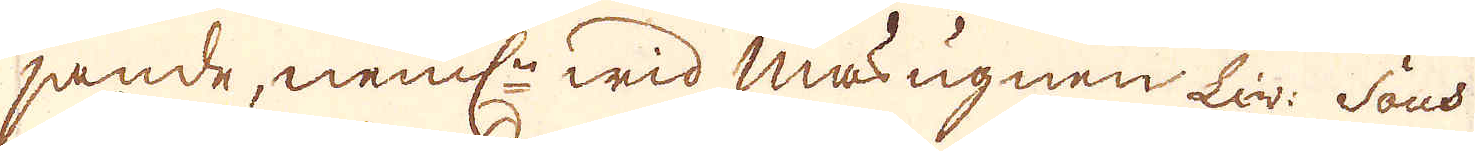jande, nemnligen wid masungnen Liv: Sous
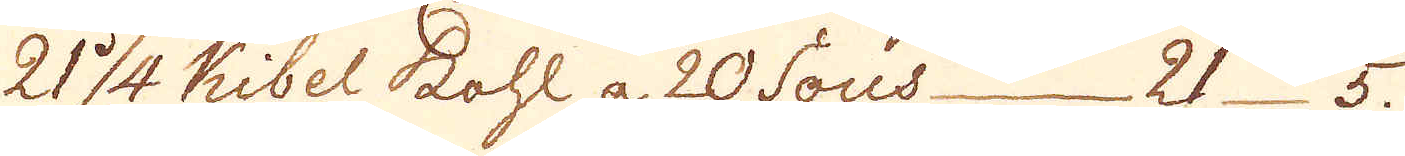21 1/4 Kibel Kohl a 20 Sous 21 5.
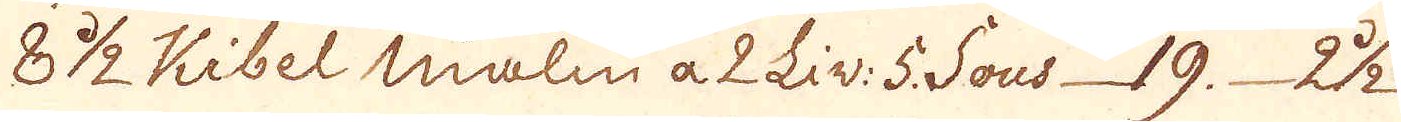8 1/2 Kibel malm a 2 Liv: 5 Sous 19. 22.
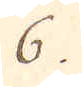6.
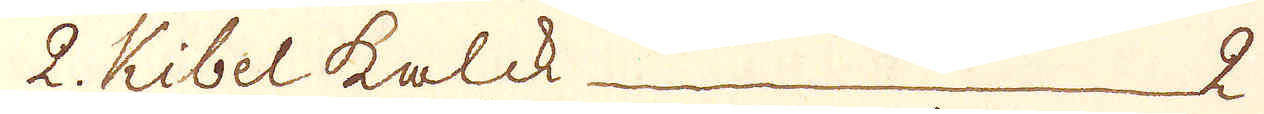2. Kibel kalck 2
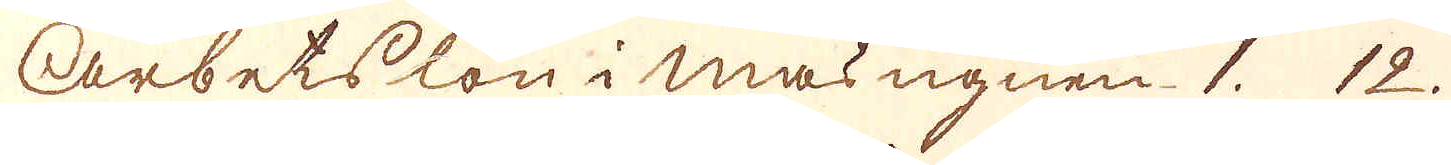Arbetslön i Masungnen. 1. 12.
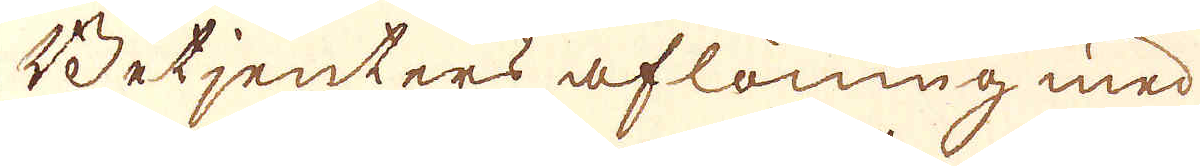Betjenters aflöning med
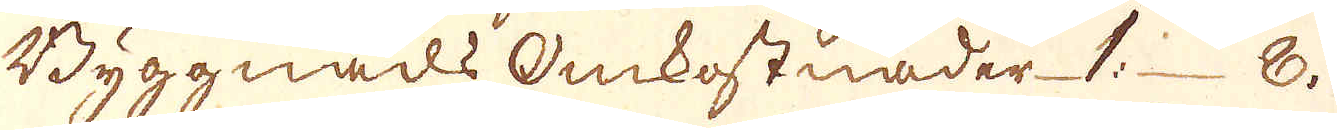Byggnads omkostnader 1: 8.
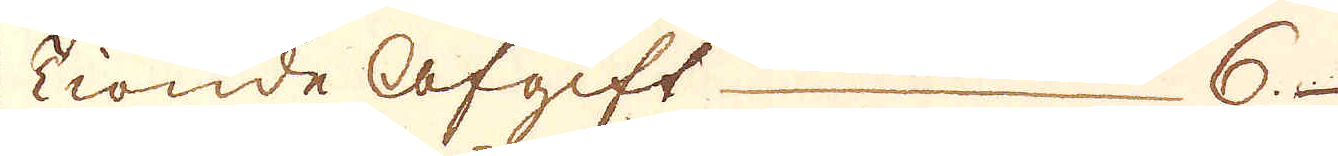tionde afgift 6.
